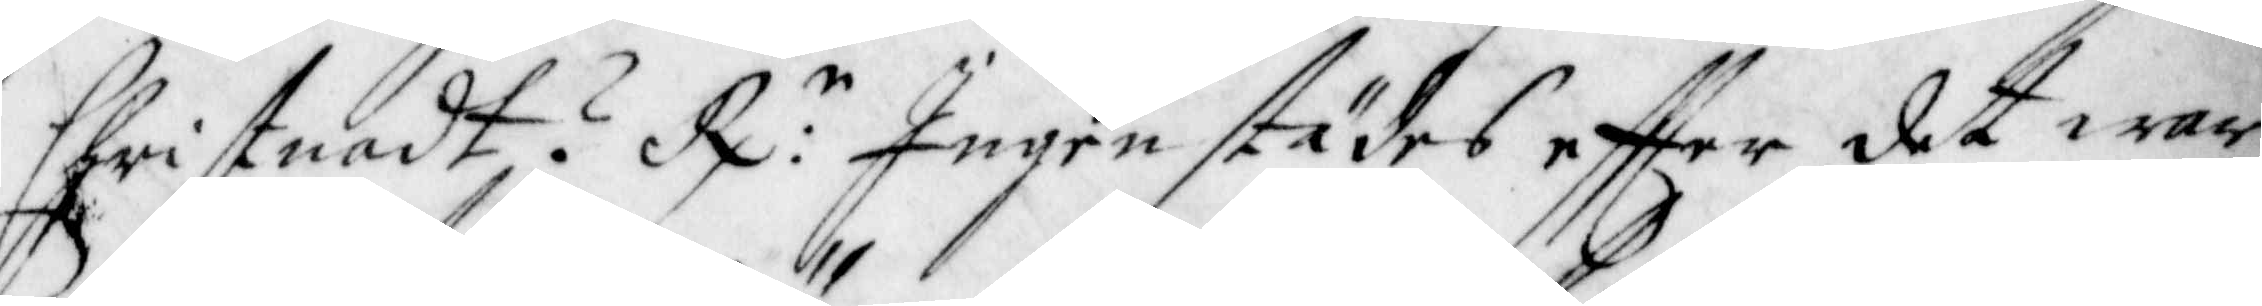Christnadt? R:r Ingenstädes effter det war
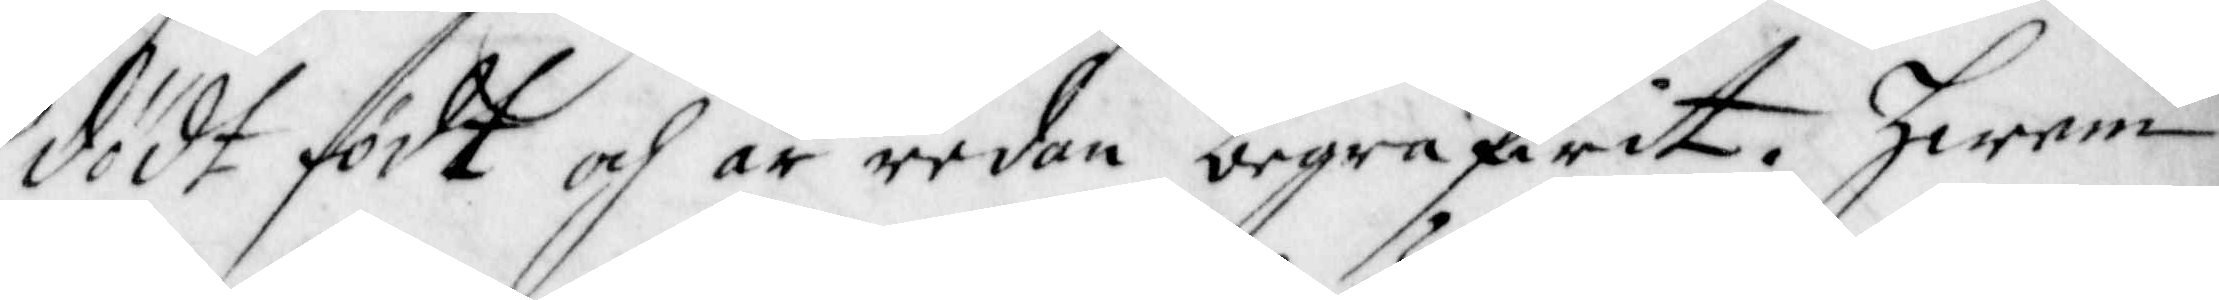dödt födt och är redan begrafwit. Hwem
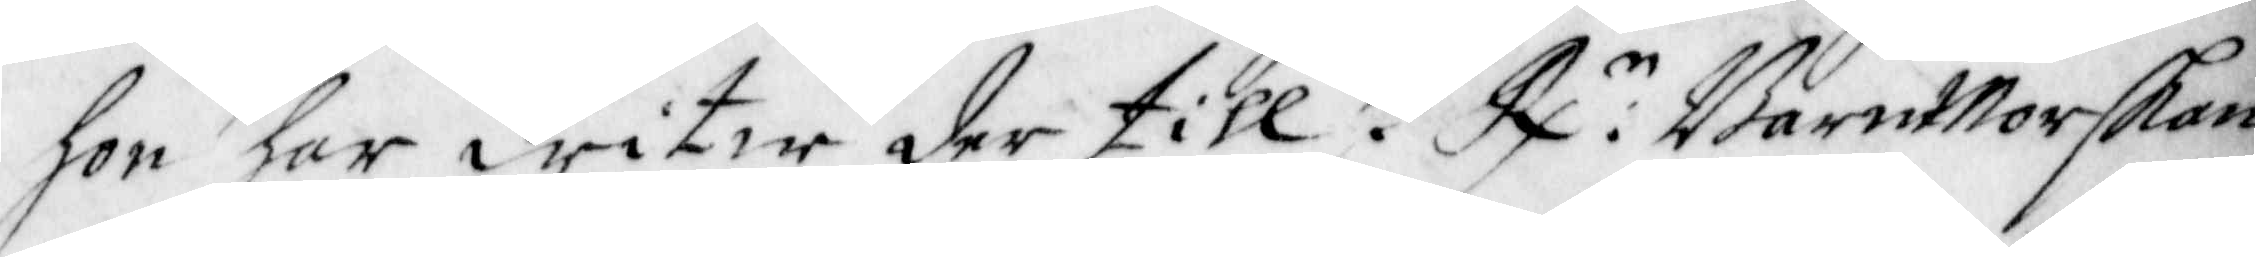hon har witne der till? R:r Barnemorskan
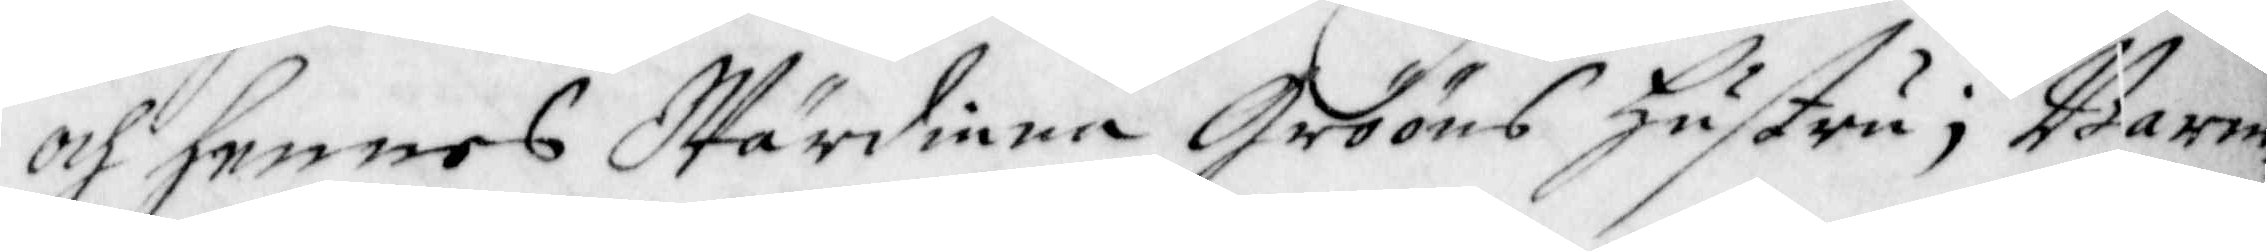och hennes Wärdinna Grööns hustru; Barne¬
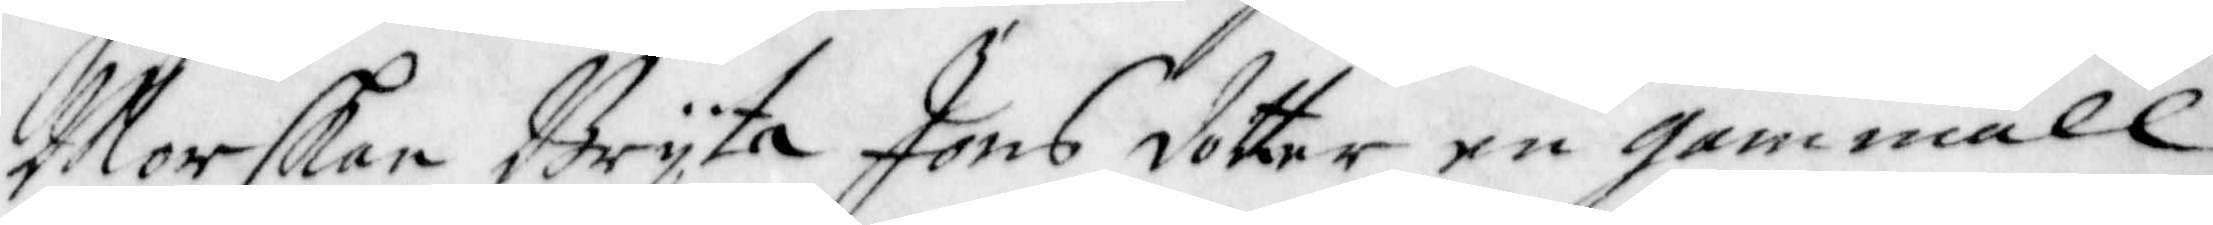Morskan Brijta Jons dotter en gammall
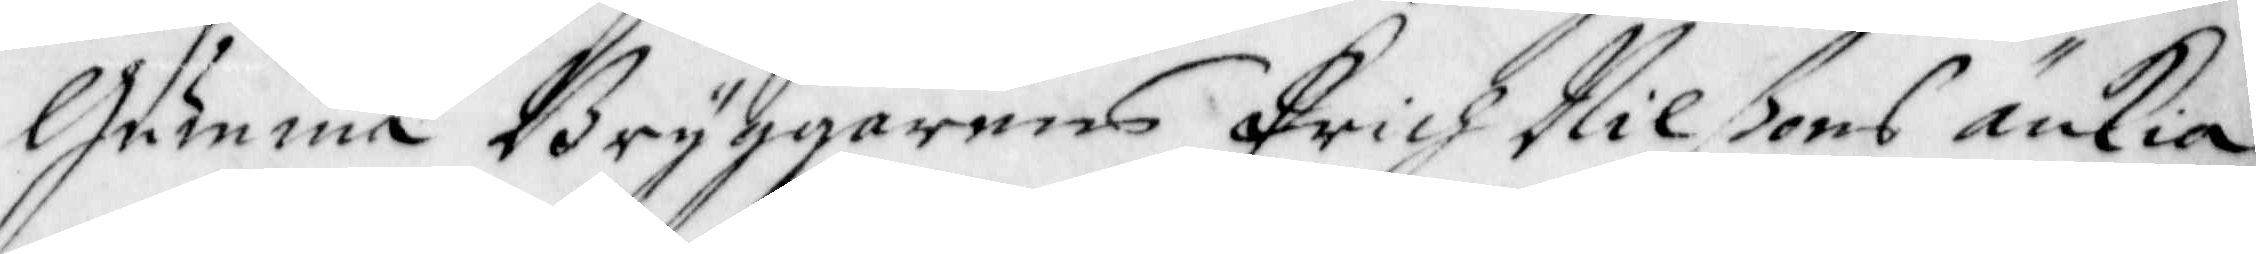Gumma Bryggarens Erich Nilßons Änkia,
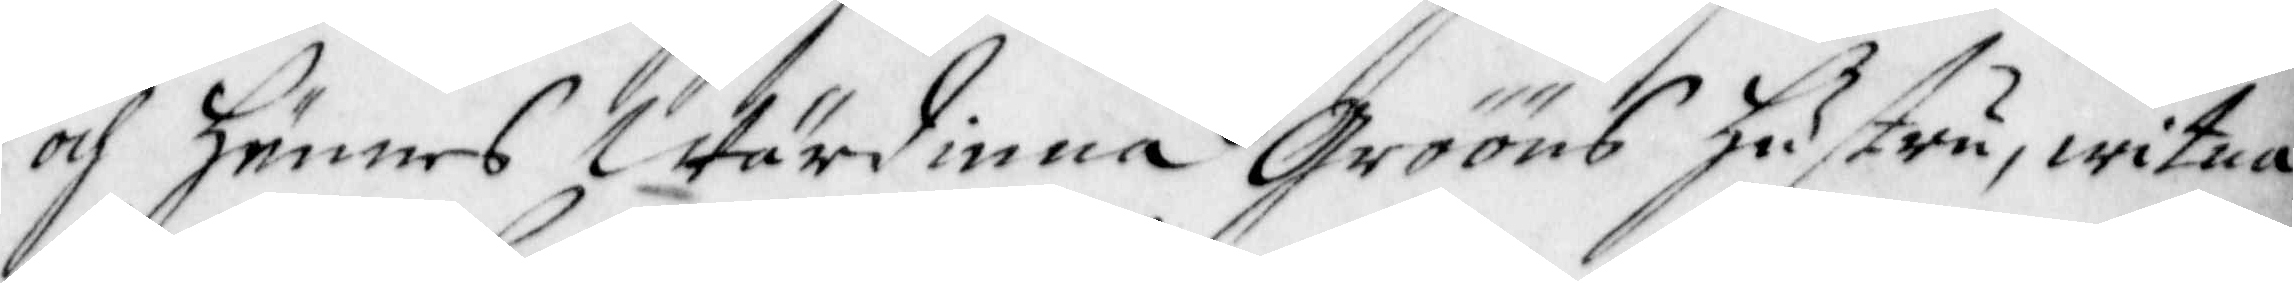och hennes Wärdinna Grööns hustru, witna¬
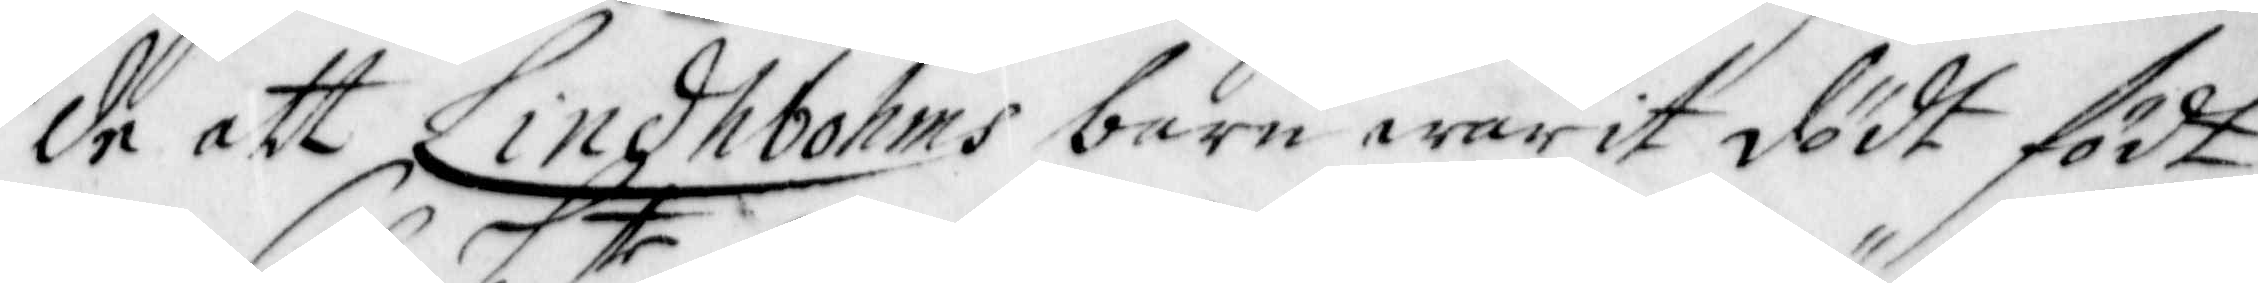de att Lindhbohms barn warit dödt födt,
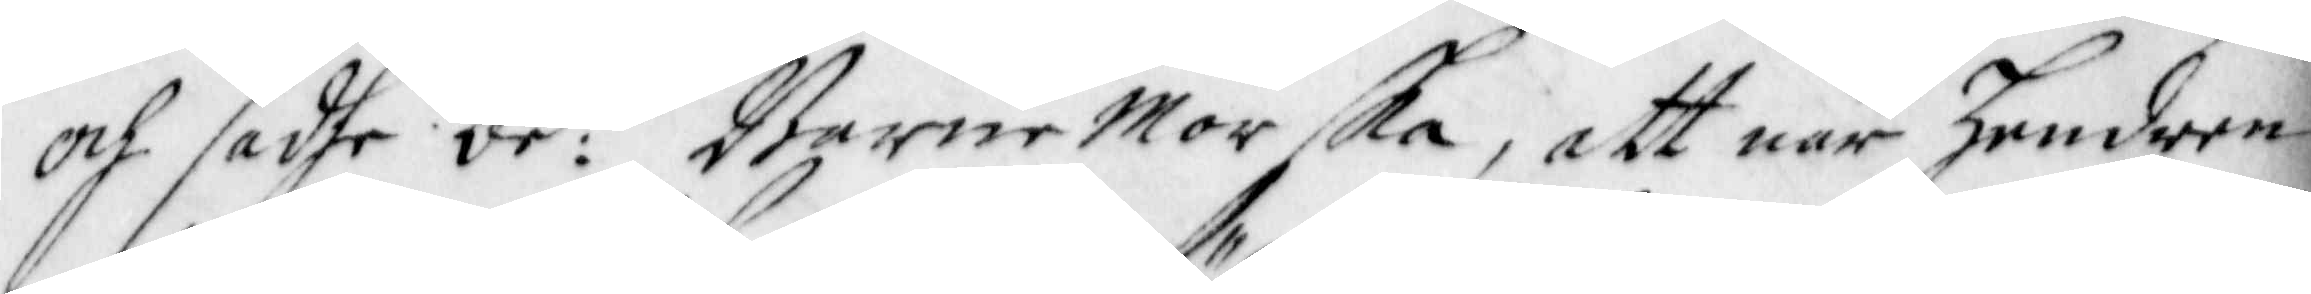och sadhe be:te Barne Morska, att när hendren
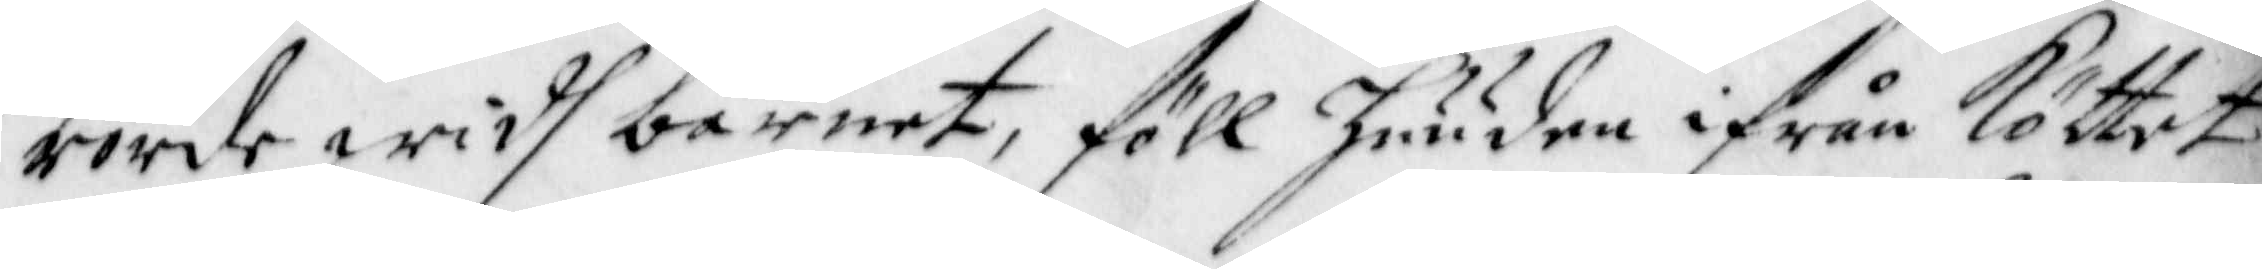rörde widh barnet, föll huuden ifrån Köttet
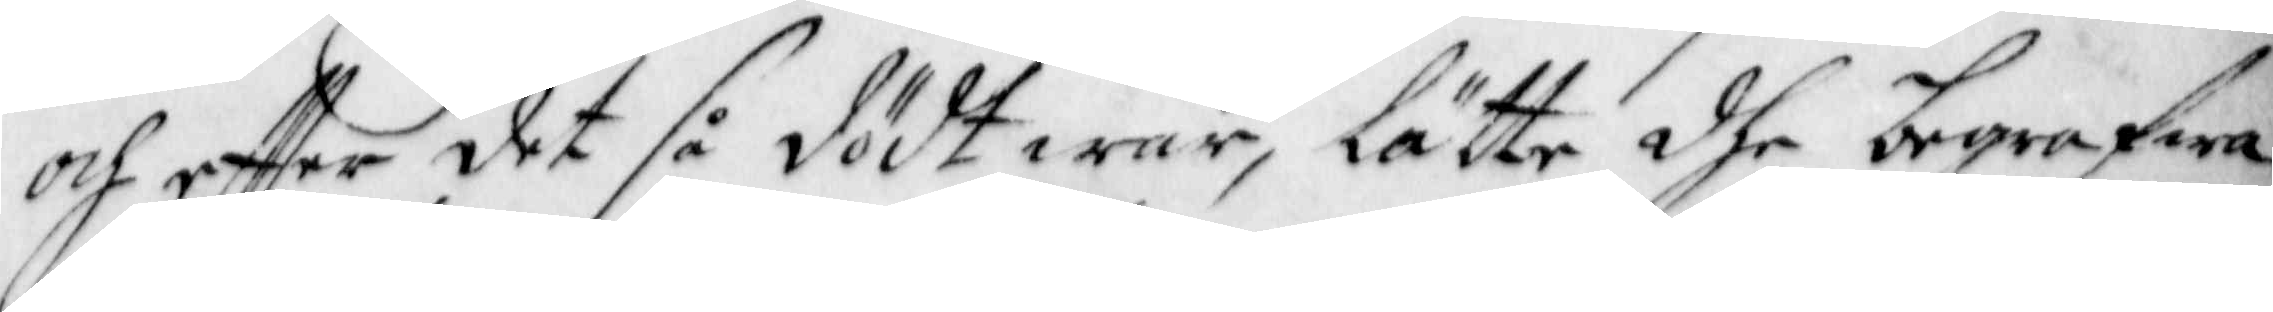och effter det så dödt war, Lätte dhe begrafwa
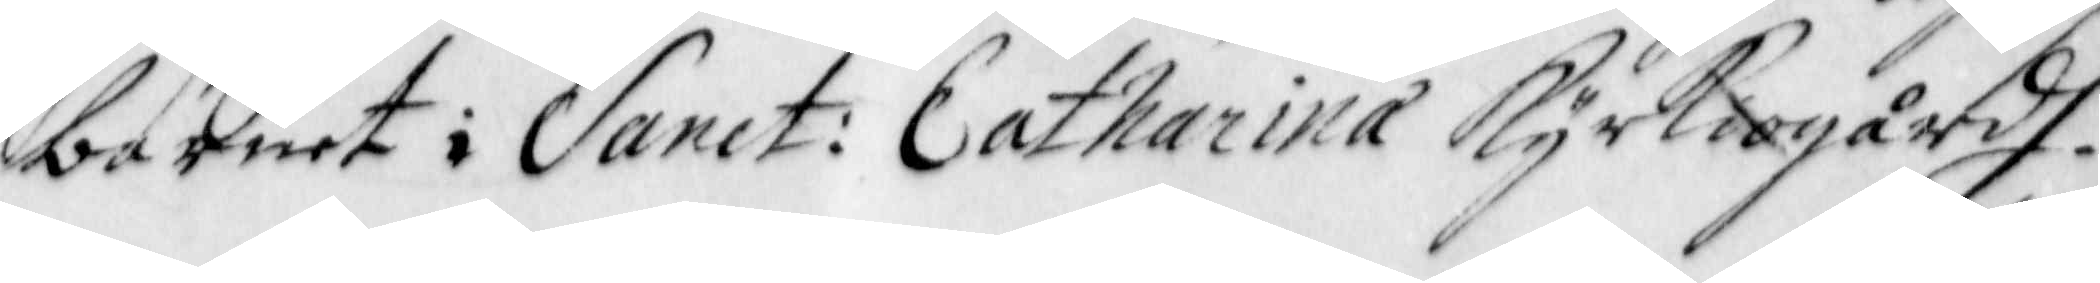barnet i Sanct: Catharinae Kyrkiogårdh.
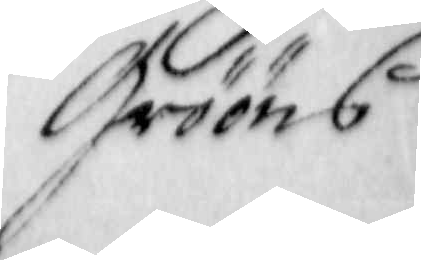Grööns
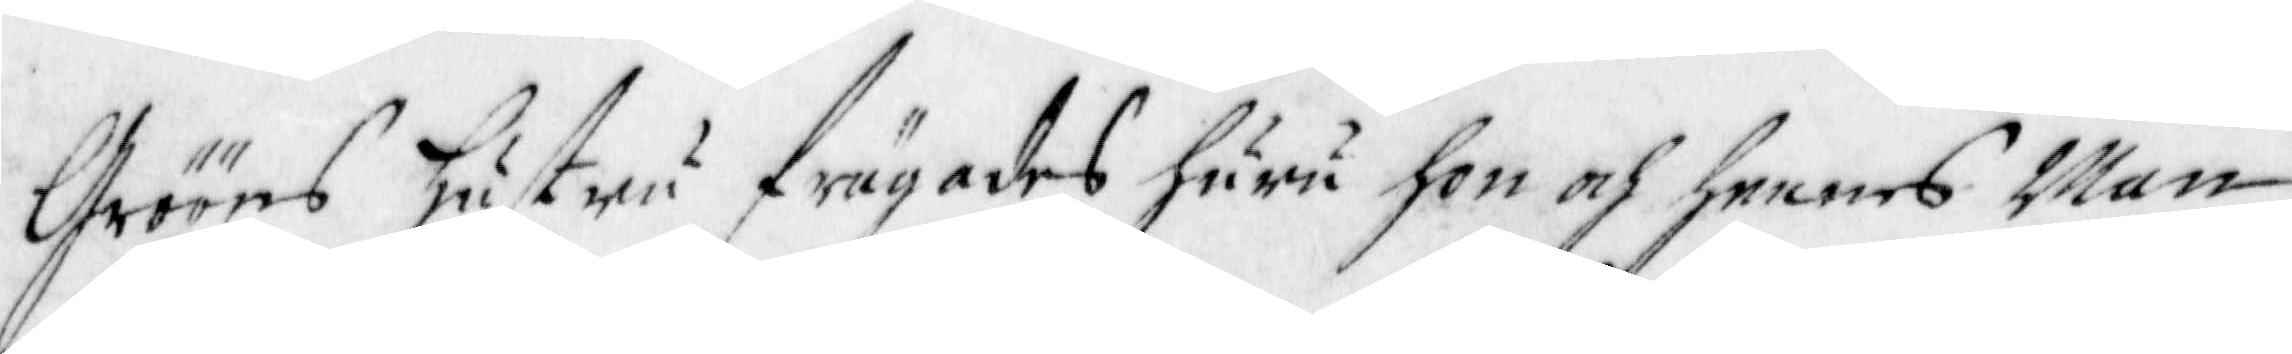Grööns hustru frågades huru hon och hennes Man
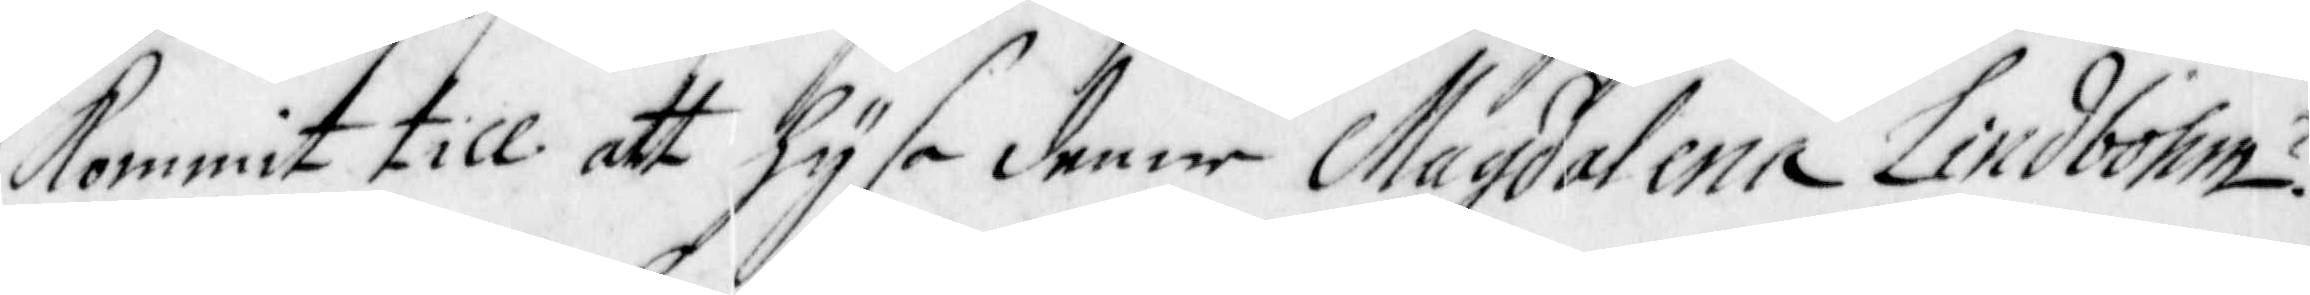kommit till att hysa denne Magdalena Lindbohm?
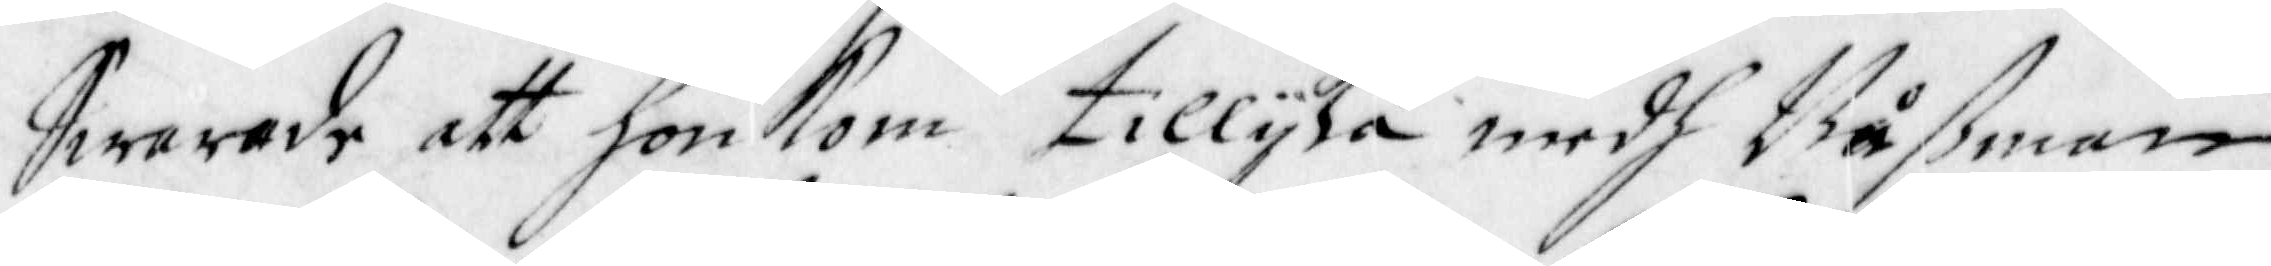Swarade att hon Kom tillijka medh Båßman
